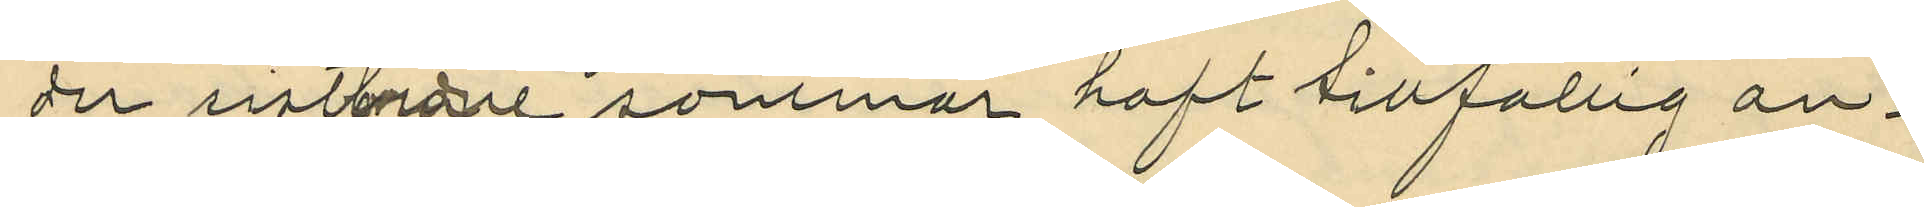der sistlidne sommar haft tillfällig an¬
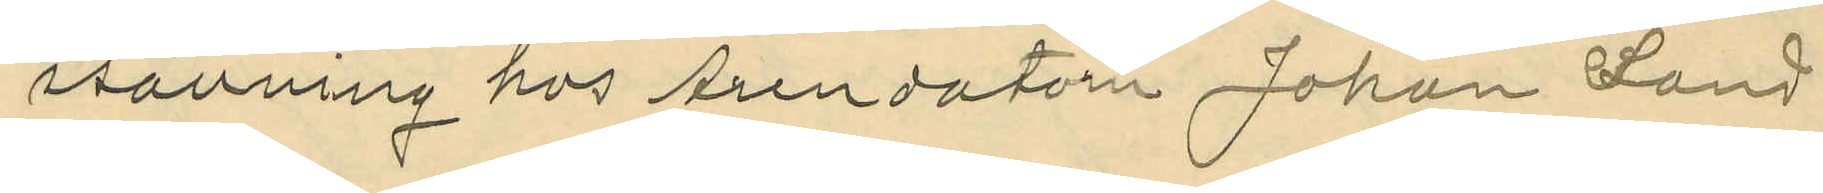ställning hos Arendatorn Johan Sand
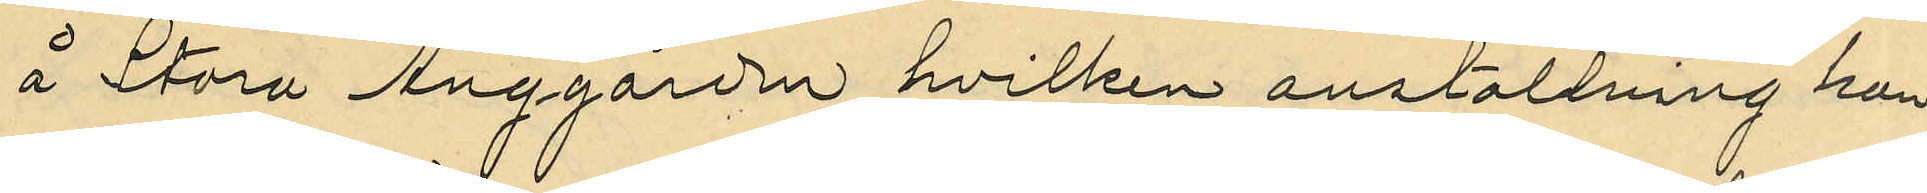å Stora Änggården hvilken anställning han
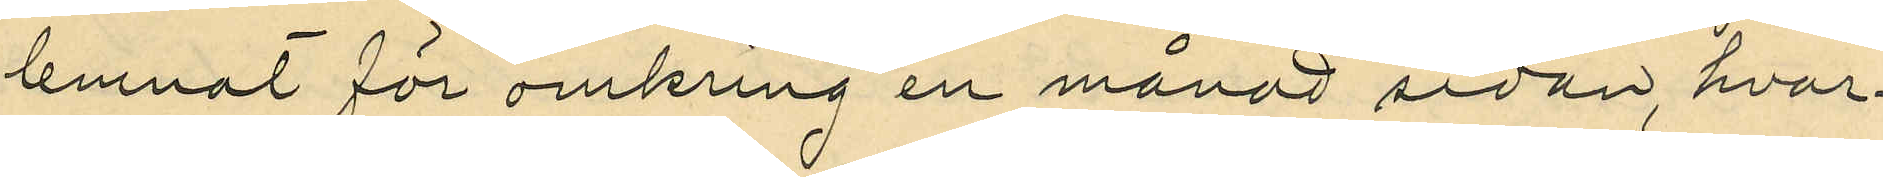lemnat för omkring en månad sedan, hvar¬
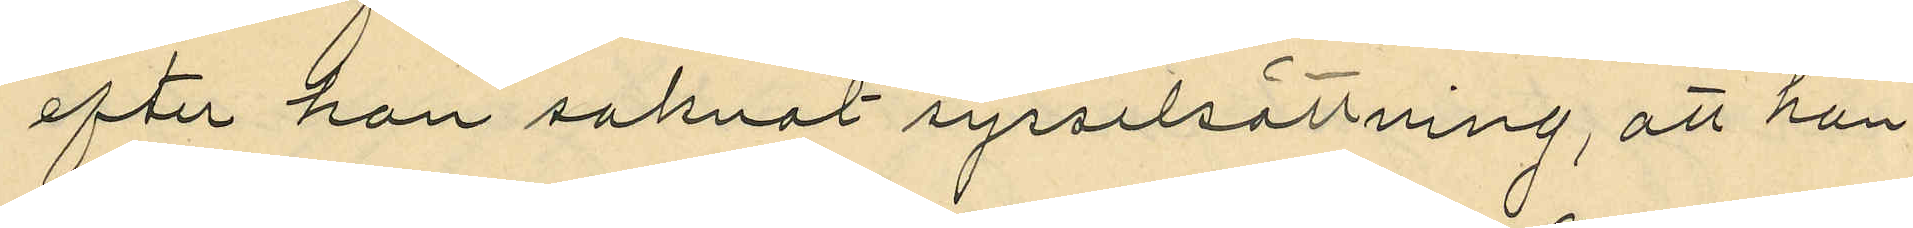efter han saknat sysselsättning, att han
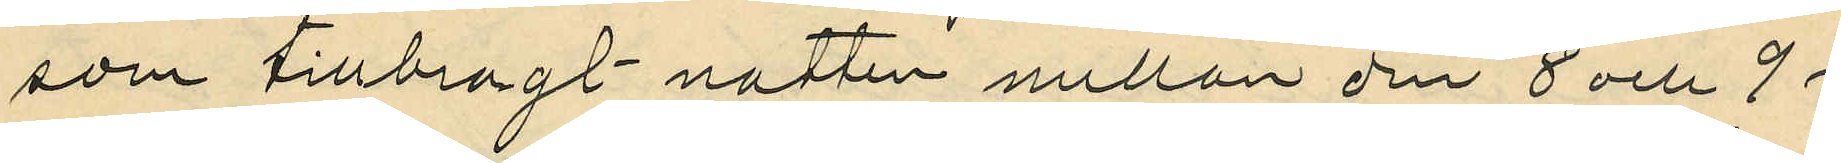som tillbragt natten mellan den 8 och 9 i
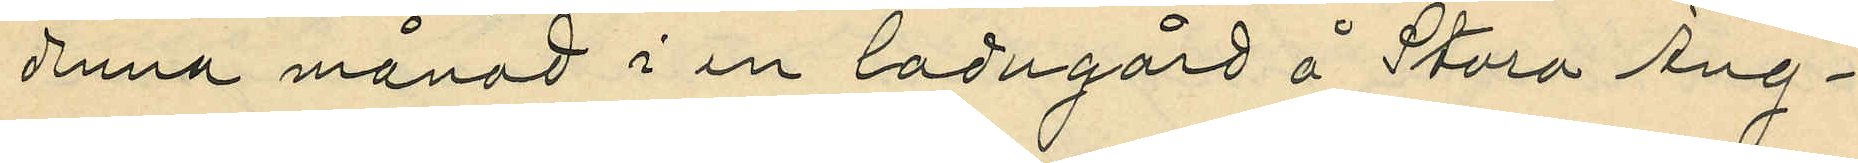denna månad i en ladugård å Stora Äng¬
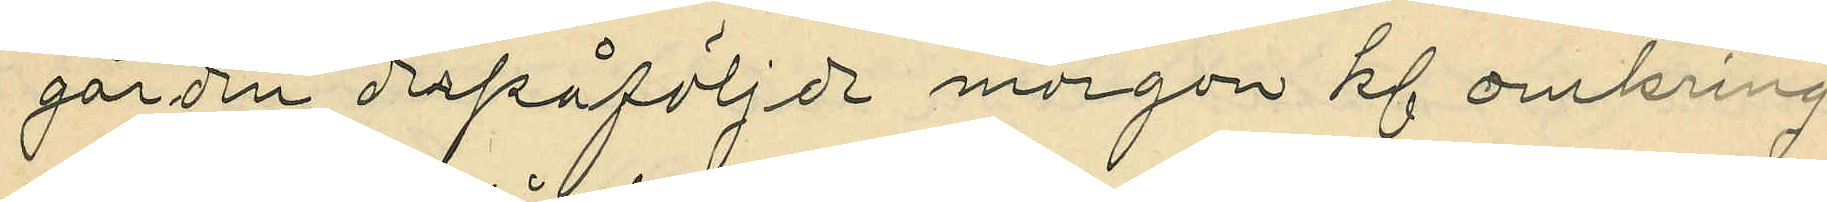gården derpåföljde morgon kl omkring
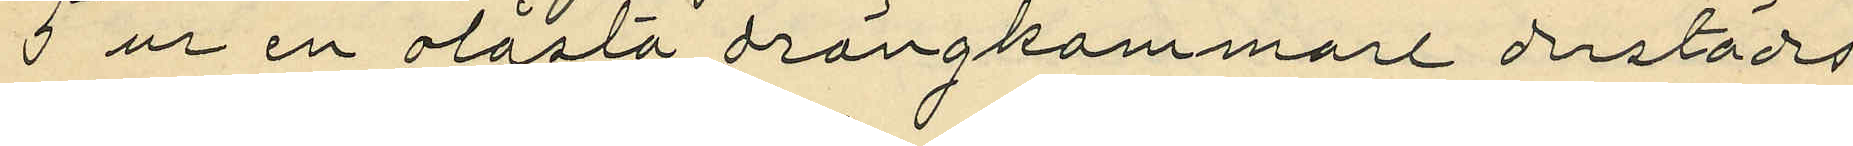5 ur en olåsta drängkammare derstädes
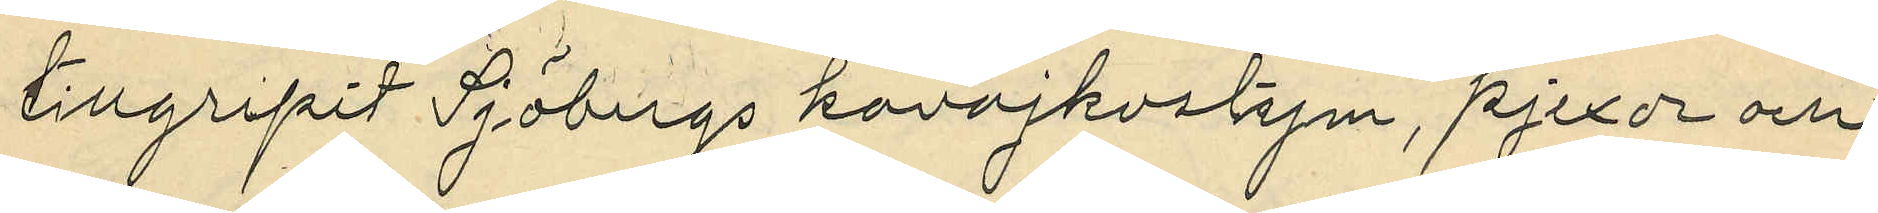tillgripit Sjöbergs kavajkostym, pjexor och
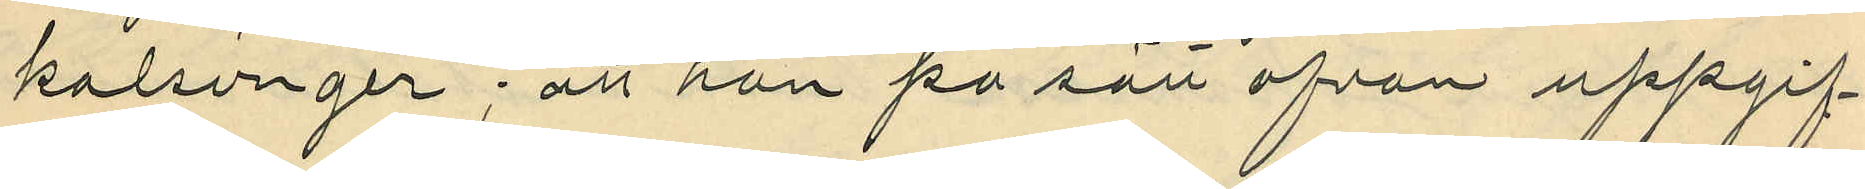kalsonger; att han på sätt ofvan uppgif¬
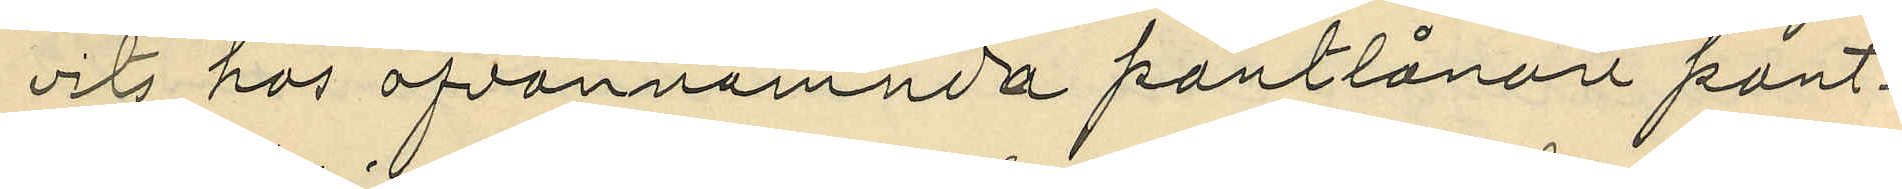vits hos ofvannamnda pantlånare pant¬
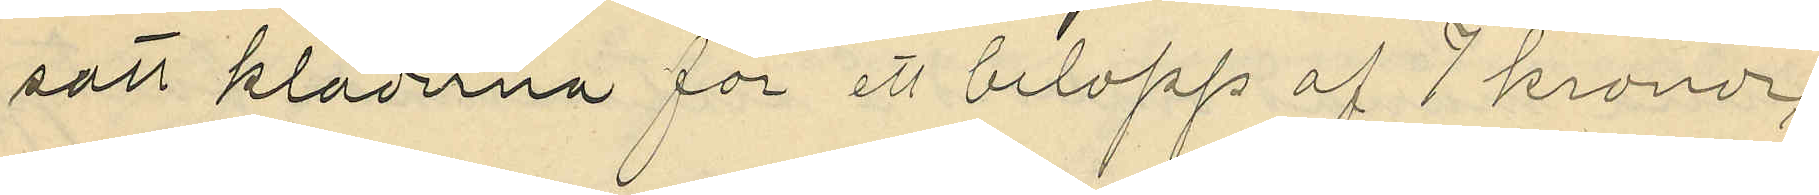satt kläderna för ett belopp af 7 kronor,
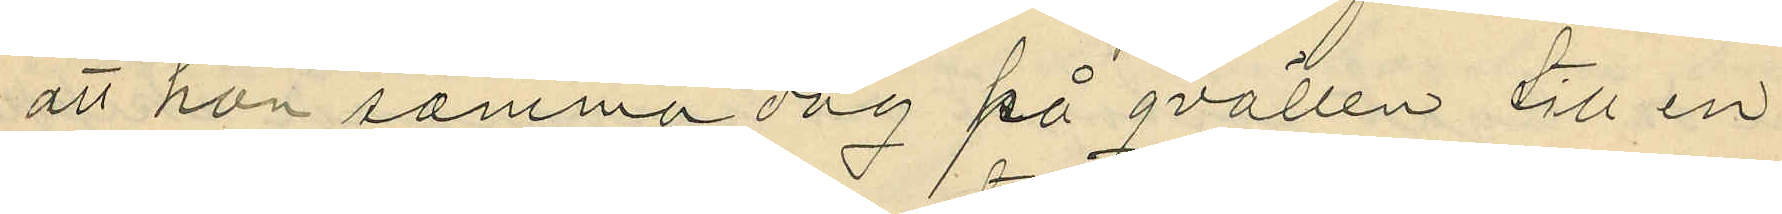att han samma dag på qvällen till en
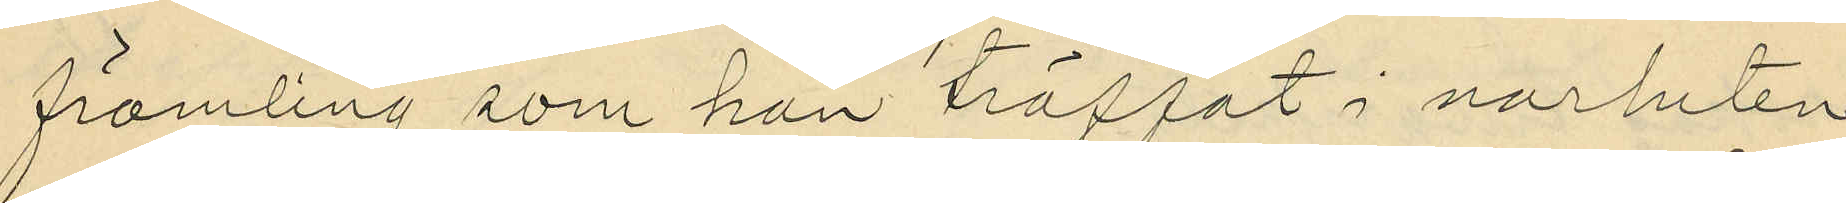främling som han träffat i narheten
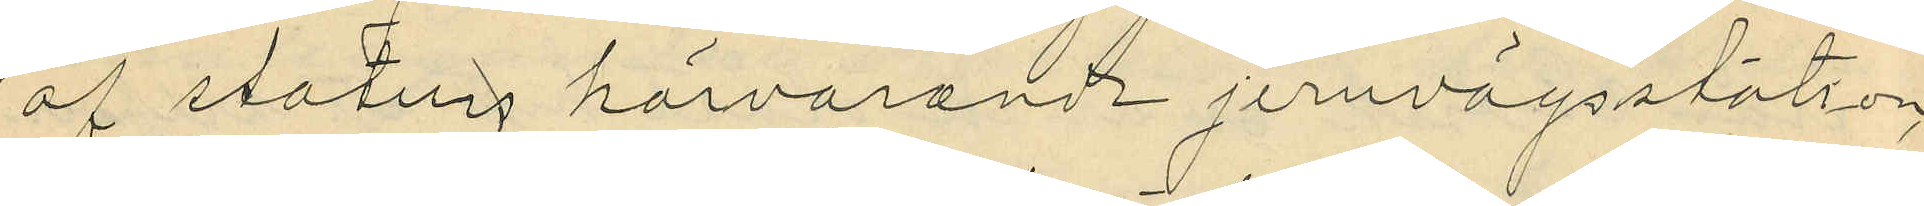af statens härvarande jernvägsstation,
